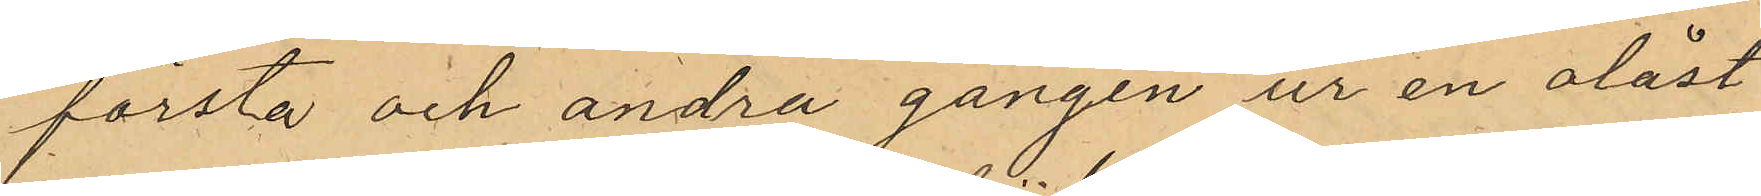första och andra gången ur en olåst
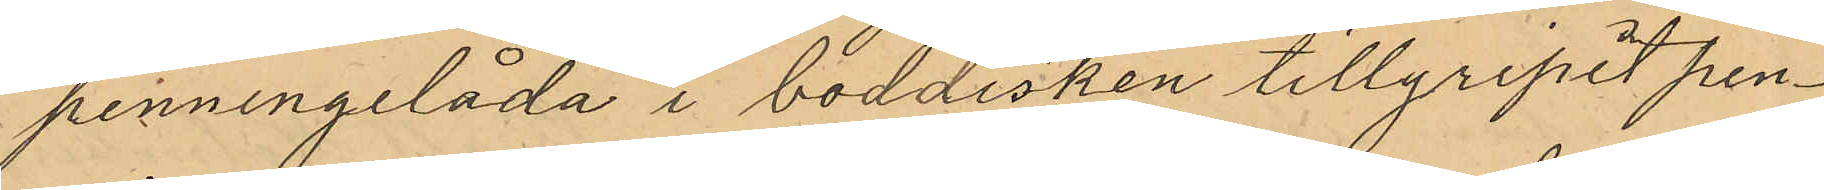penningelåda i boddisken tillgripit pen¬
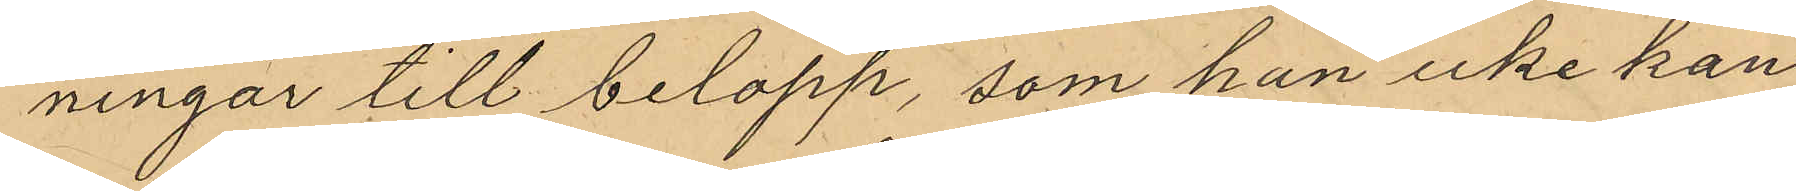ningar till belopp, som han icke kan
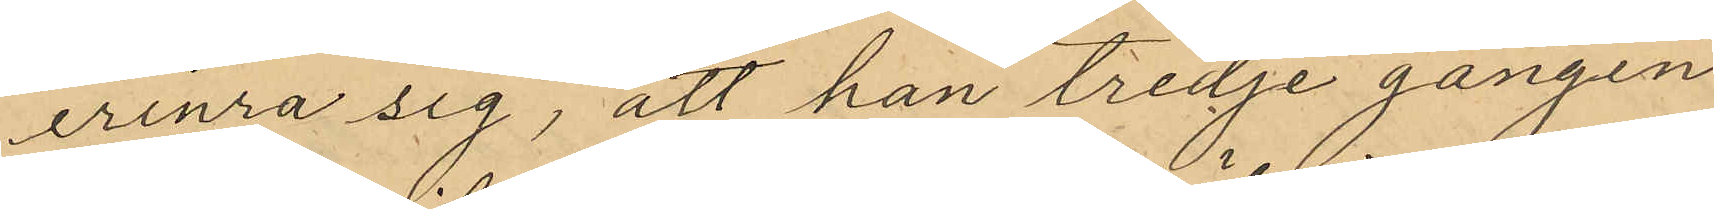erinra sig, att han tredje gången
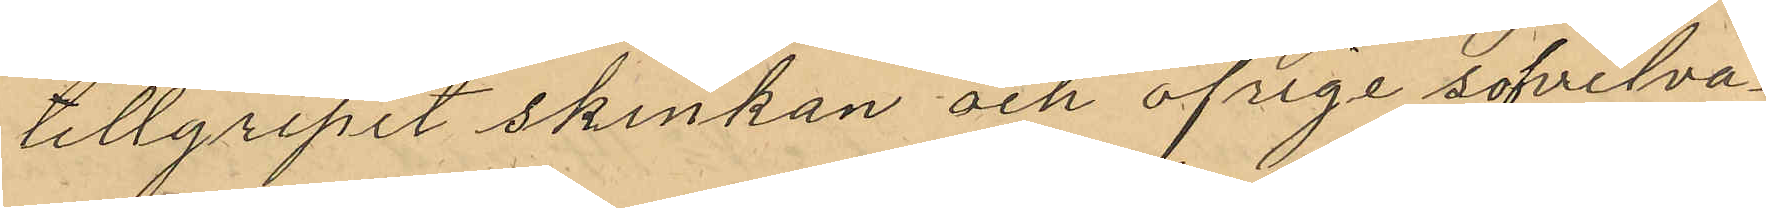tillgripit skinkan och öfrige sofvelva¬
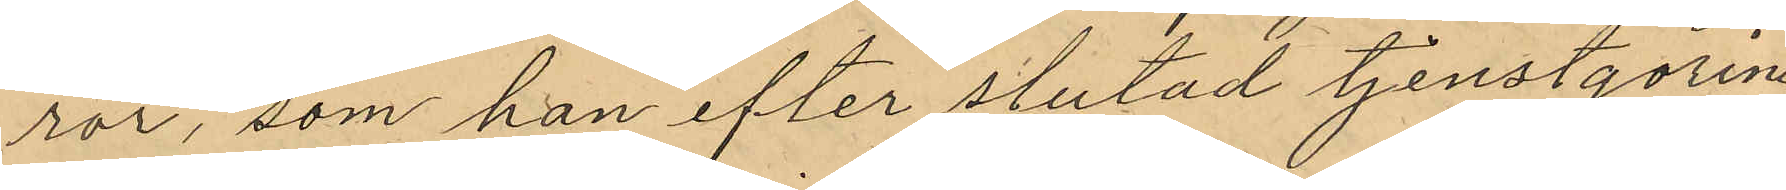ror, som han efter slutad tjenstgöring
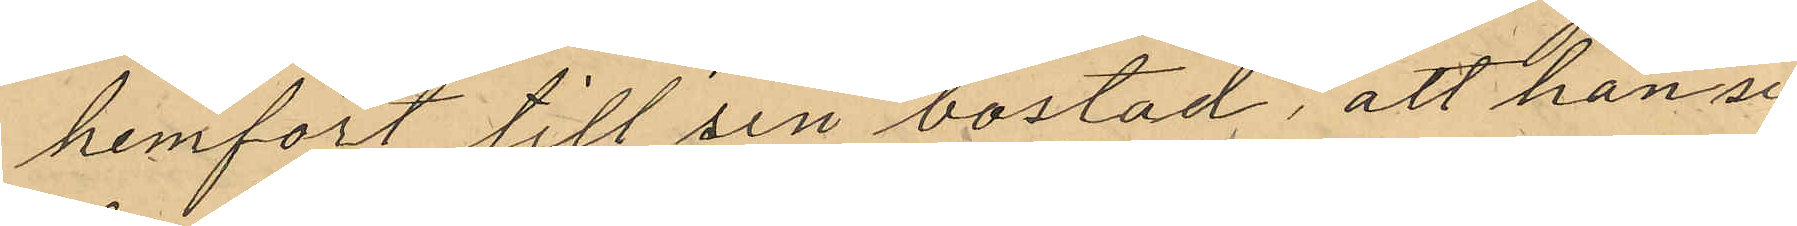hemfört till sin bostad, att han se¬
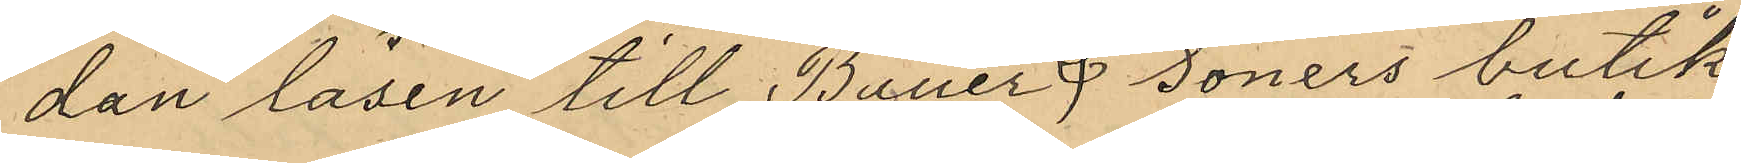dan låsen till Bauer & Söners butik
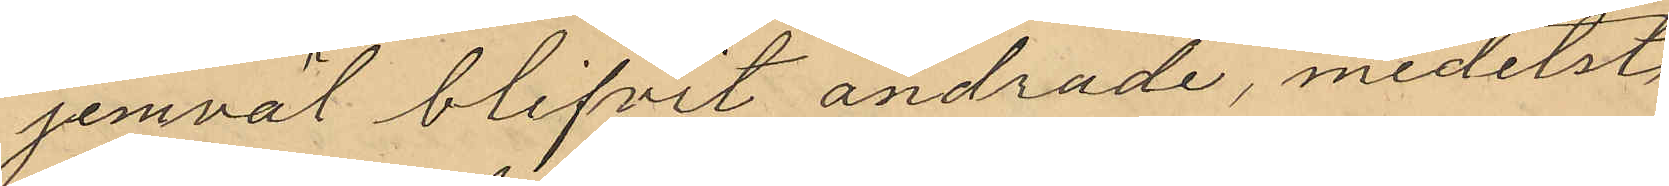jemväl blifvit ändrade, medelst
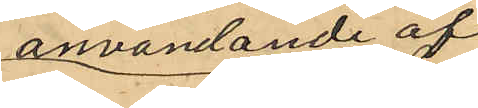anvandande af
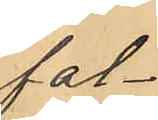fal¬
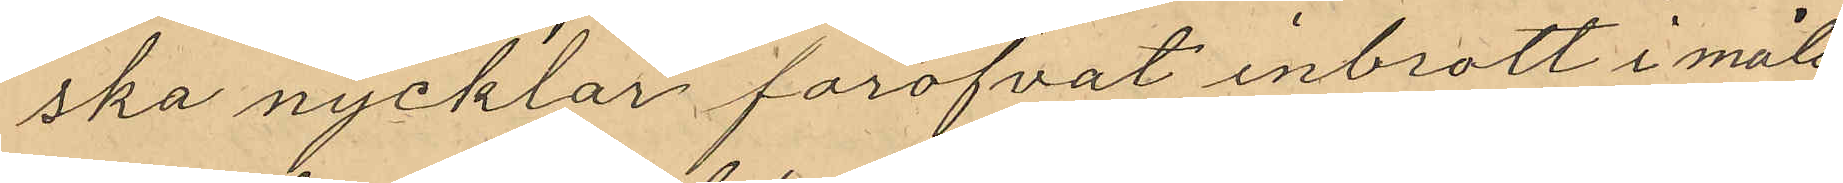ska nycklar föröfvat inbrott i måls¬
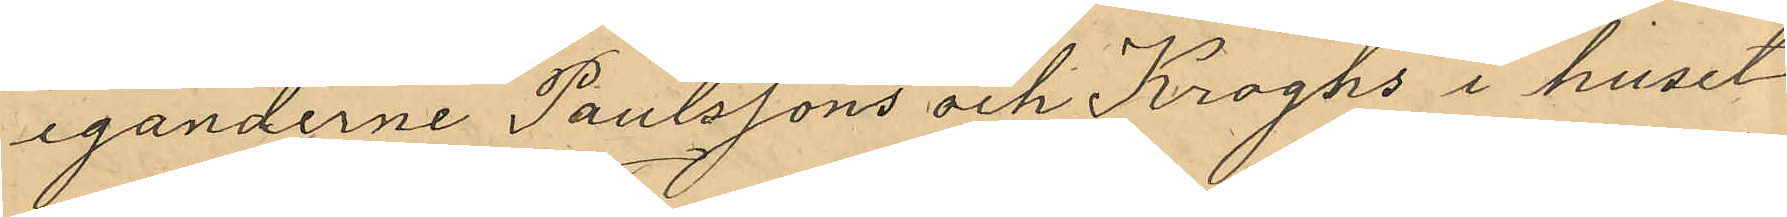eganderne Paulssons och Kroghs i huset
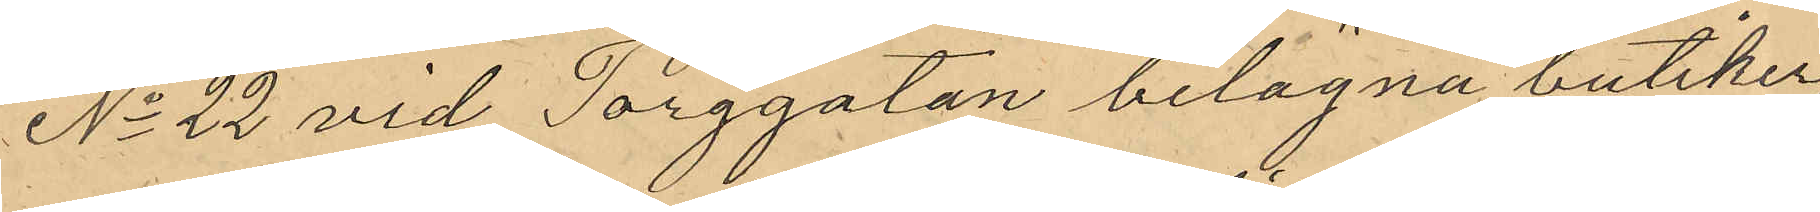No 22 vid Torggatan belägna butiker
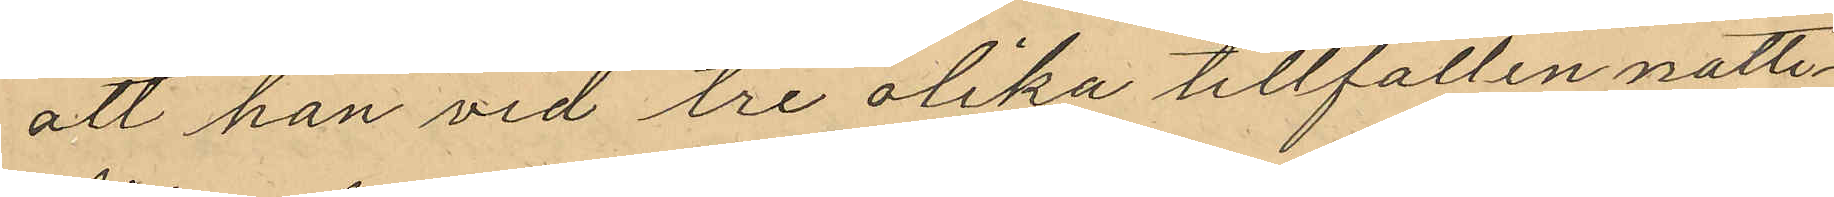att han vid tre olika tillfällen natte¬
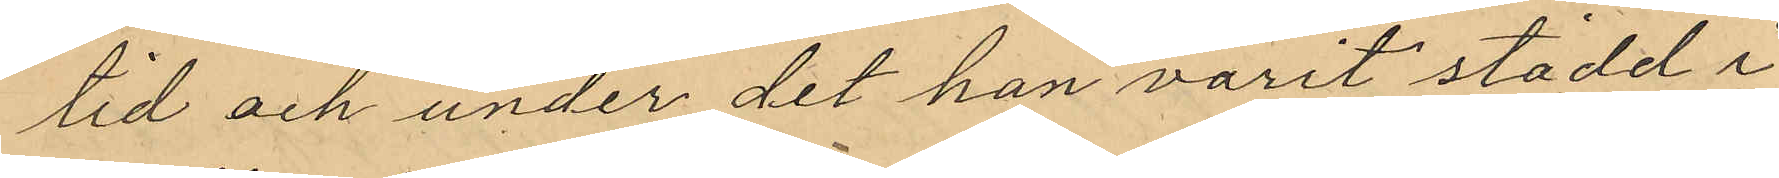tid och under det han varit stadd i
